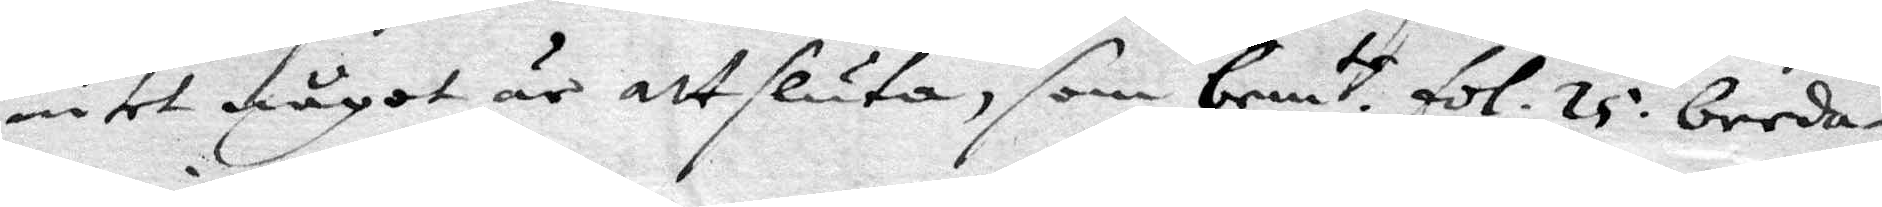intet något är att sluta, som bem.te fol. 25. beeda¬
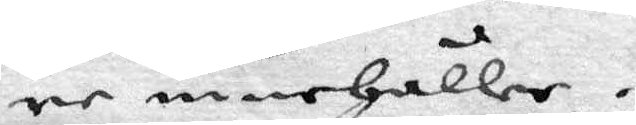re innehåller.
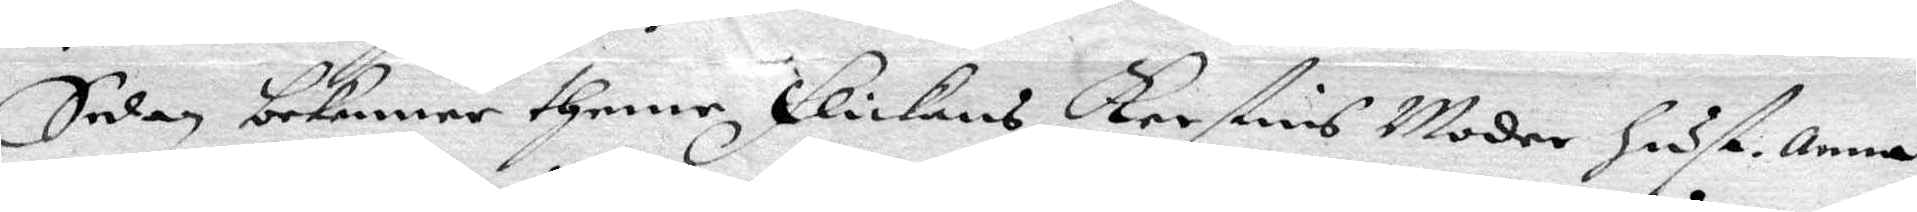Sedan bekenner thenne flickans Kerstins Moder hust. Anna
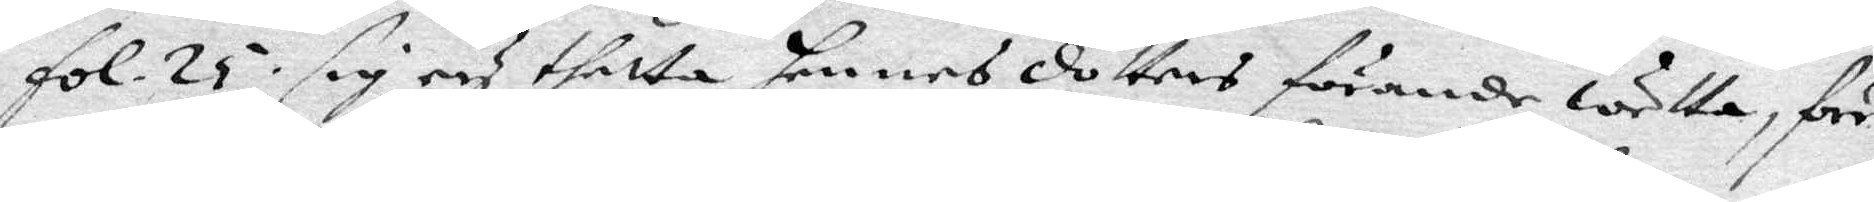fol. 25. sig ey thalte hennes dotters förande wetta, för¬
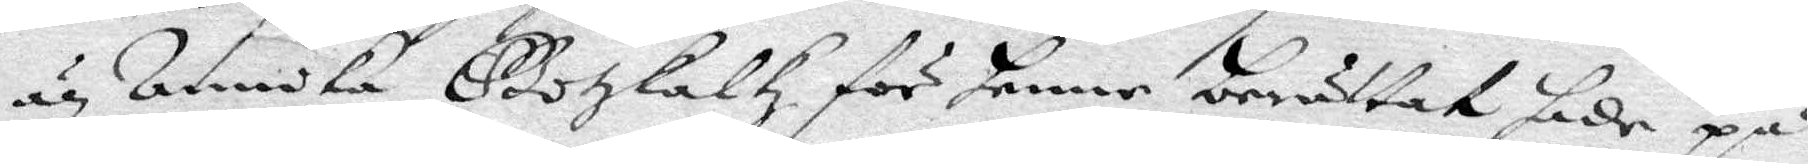än Annika Gotzkalkz för henne berättat sade på
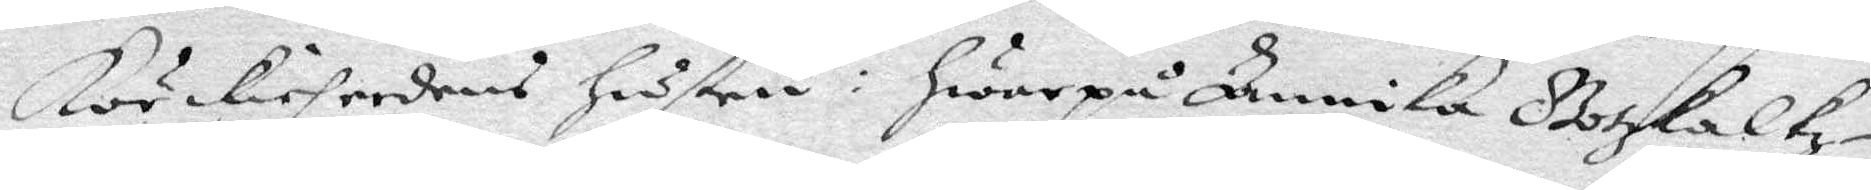körckieherdens hustru: hwarpå Annika Gotzkalkz¬
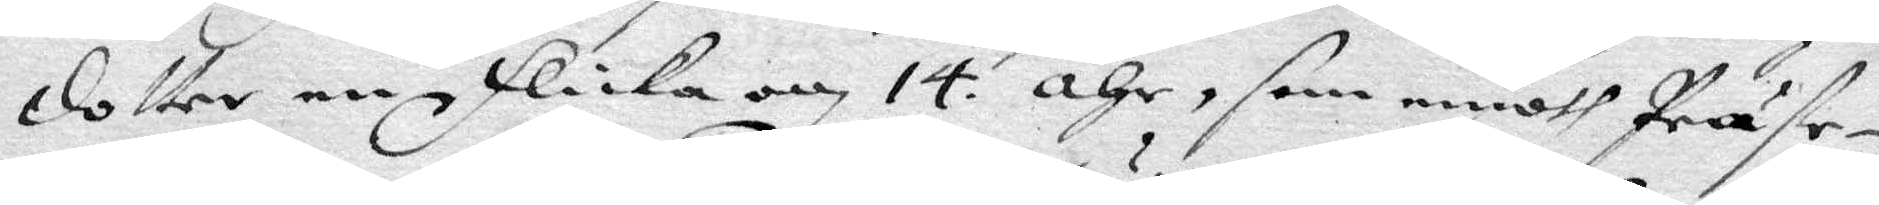dotter en flicka om 14. åhr, som emoth Präste¬
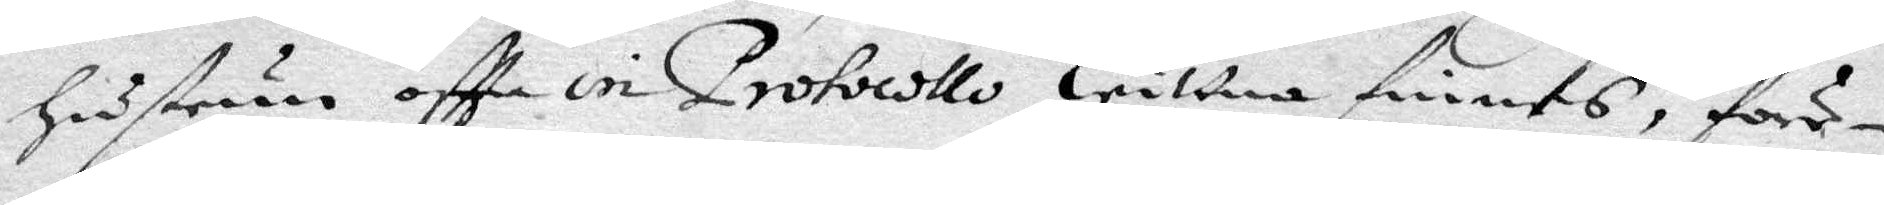hustrun oftta in Protocollo wittno finnes, för¬
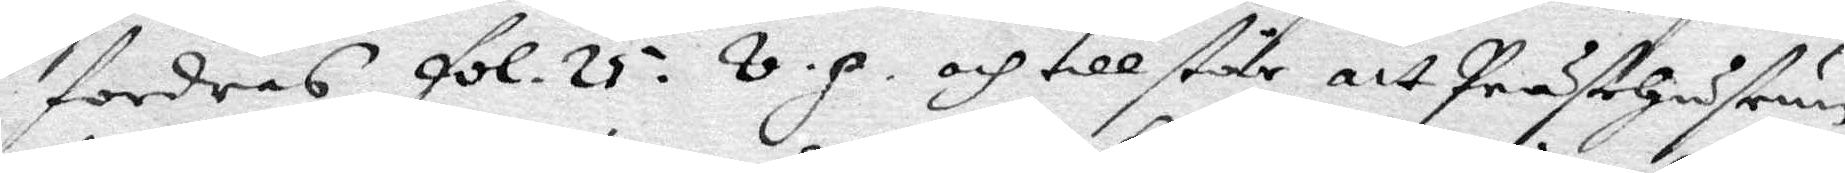fordras fol. 25. v. p. och till står att Prästehustrun
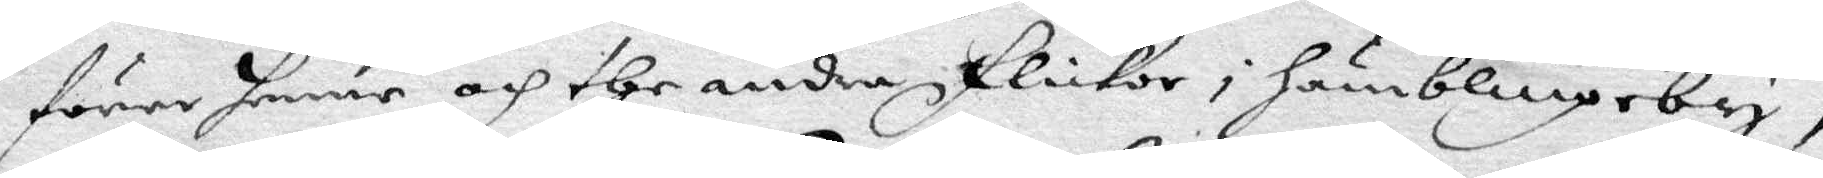förer henne och the andra flickor i Humblingeby,
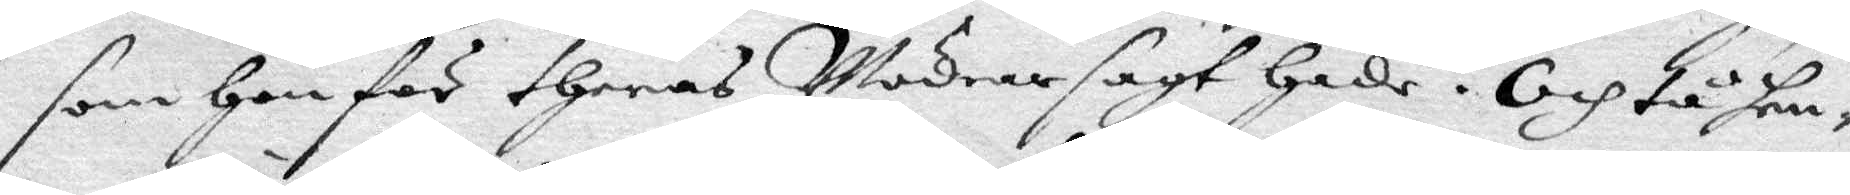som hon för theras Mödrar sagt hade. och tå hen¬
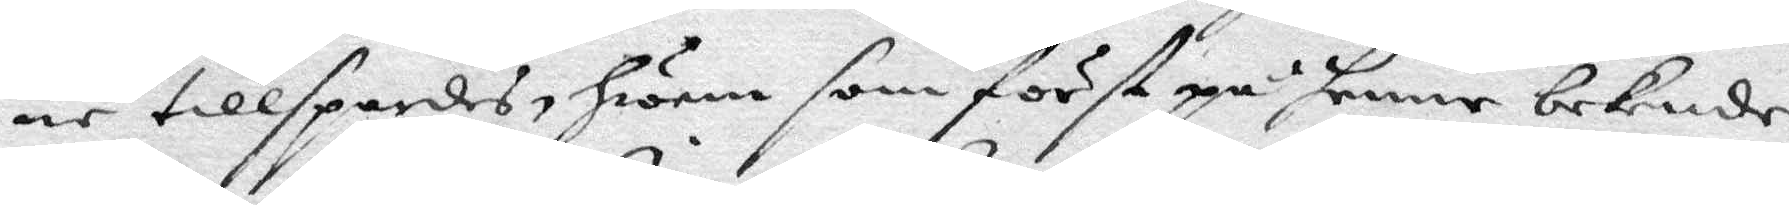ne tillspordes, hwem som först på henne bekende,
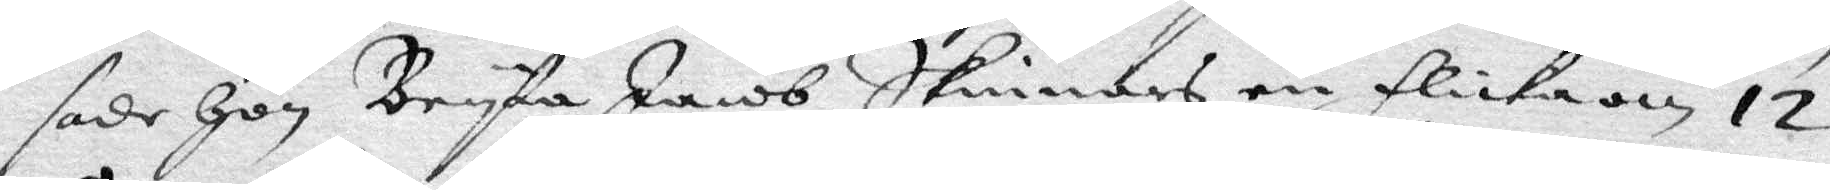sade hon Bryta Jacob Skinnars en flicka om 12
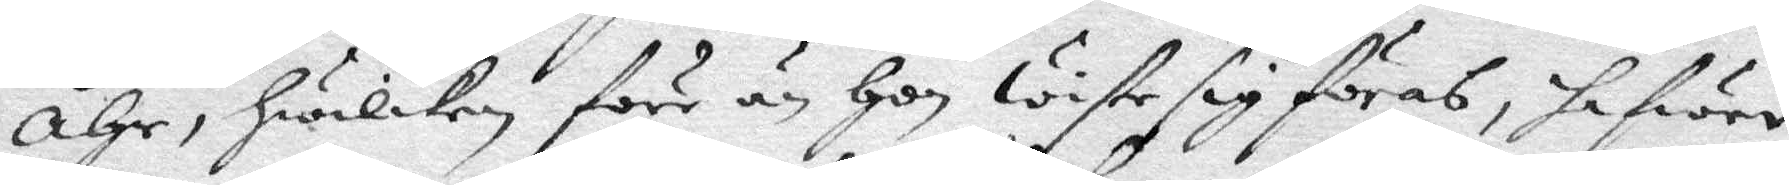åhr, hwilken förr än hon wiste sig föras, hafwer
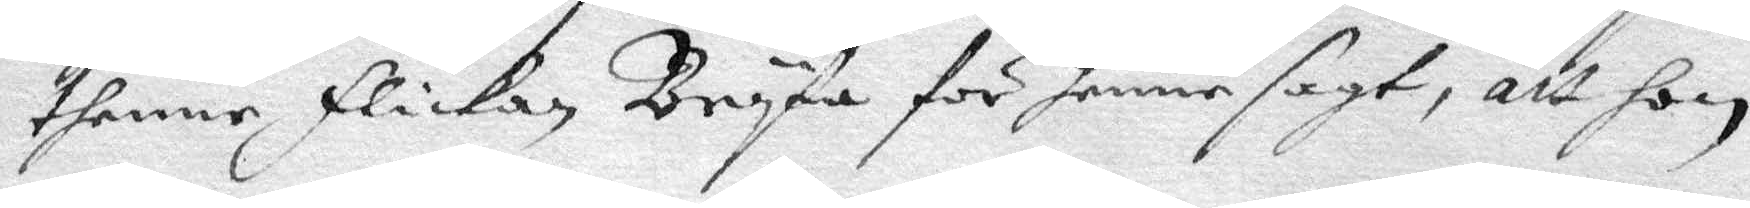thenne flickan Bryta för henne sagt, att hon
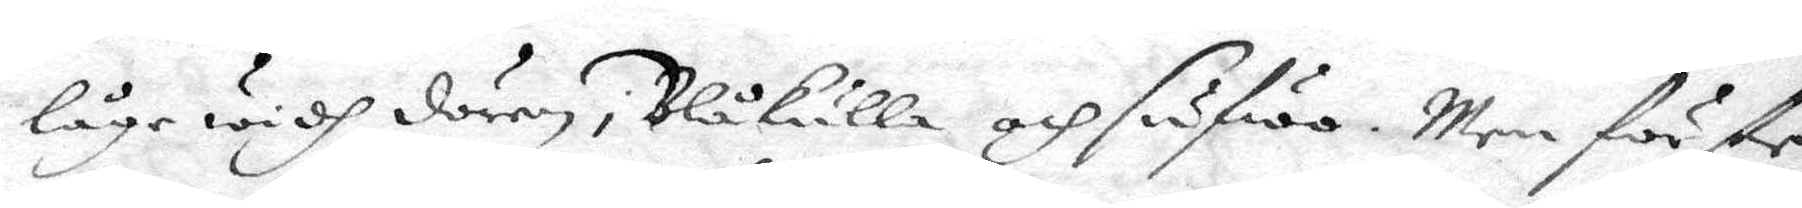låge widh dören i Blåkulla och såfwo. Men förste
